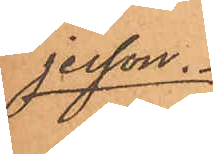jesson.
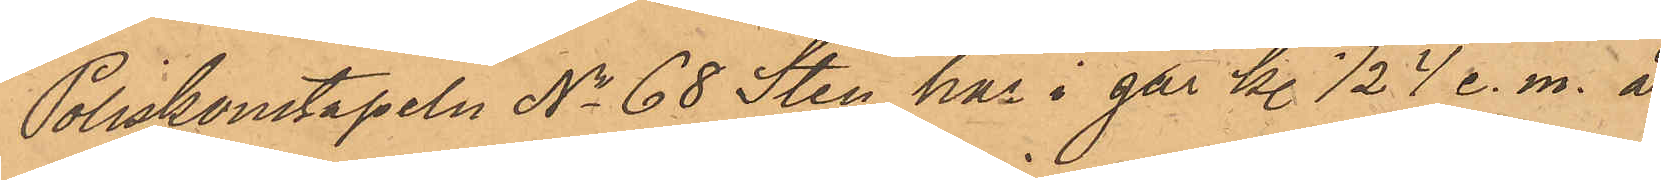Poliskonstapeln No 68 Sten har i går kl. 1/2 4 e. m. å
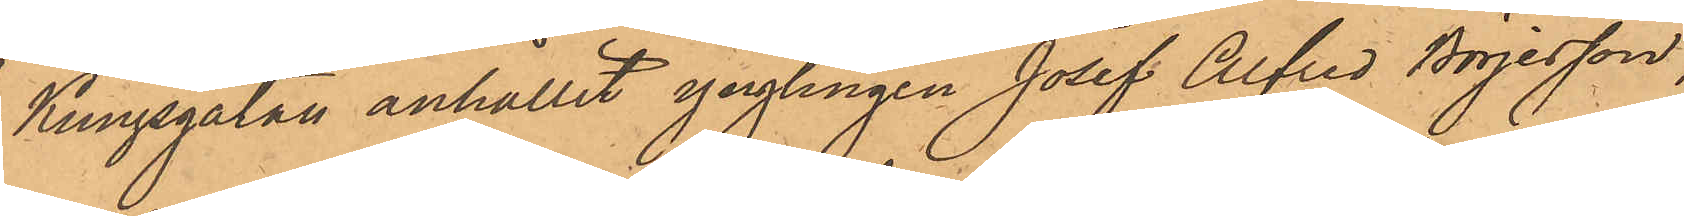Kungsgatan anhållit ynglingen Josef Alfred Börjesson,
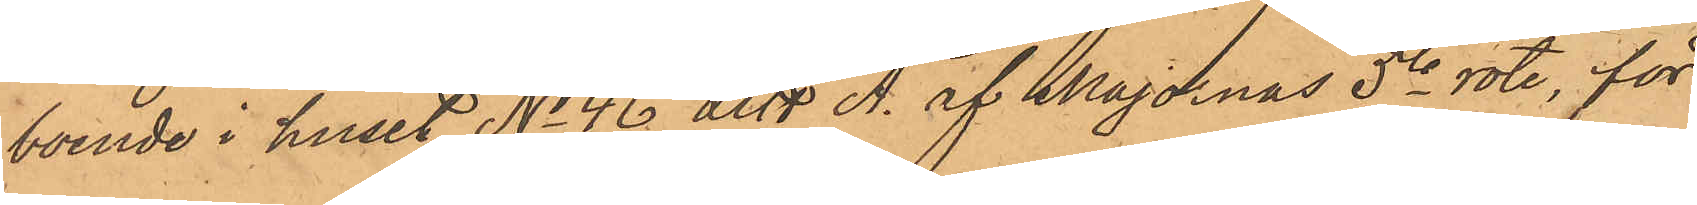boende i huset No 46 Litt A. af Majornas 5te rote, för
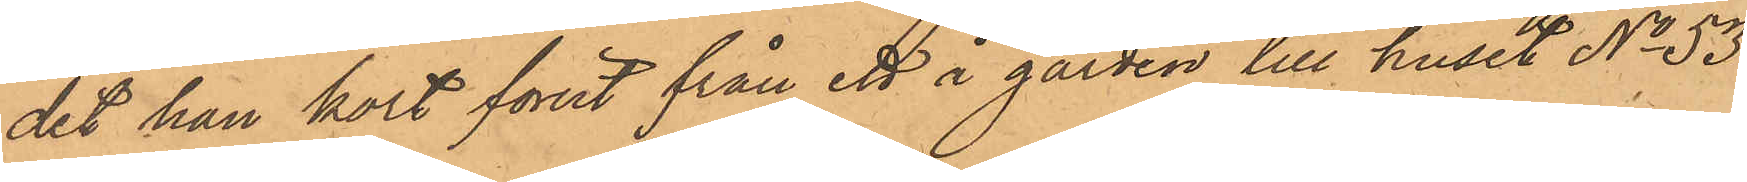det han kort förut från ett å gården till huset No 53
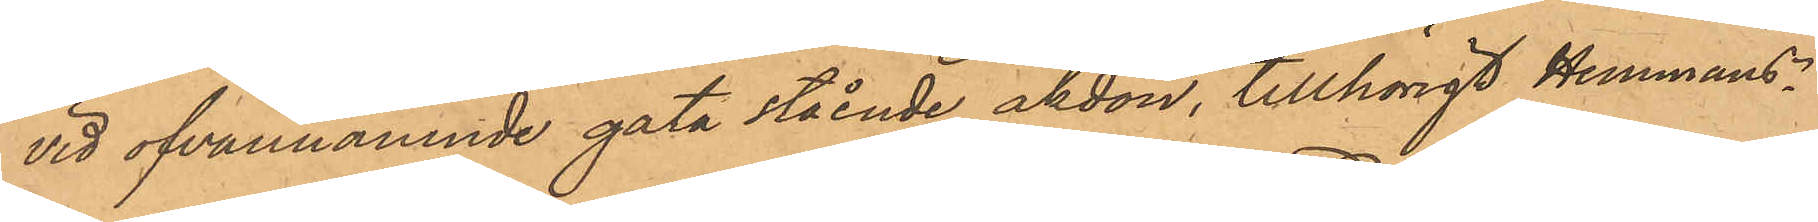vid ofvannämnde gata stående åkdon, tillhörigt Hemmans¬
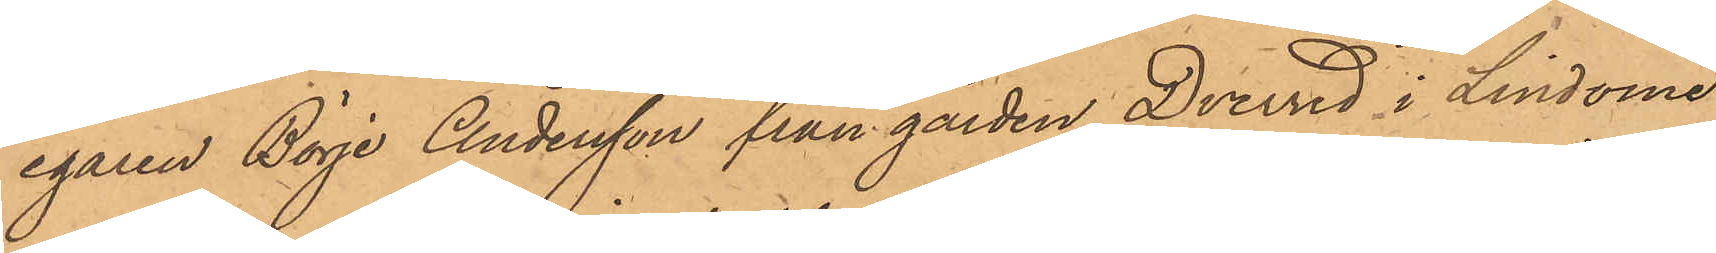egaren Börje Andersson från gården Dverred i Lindome
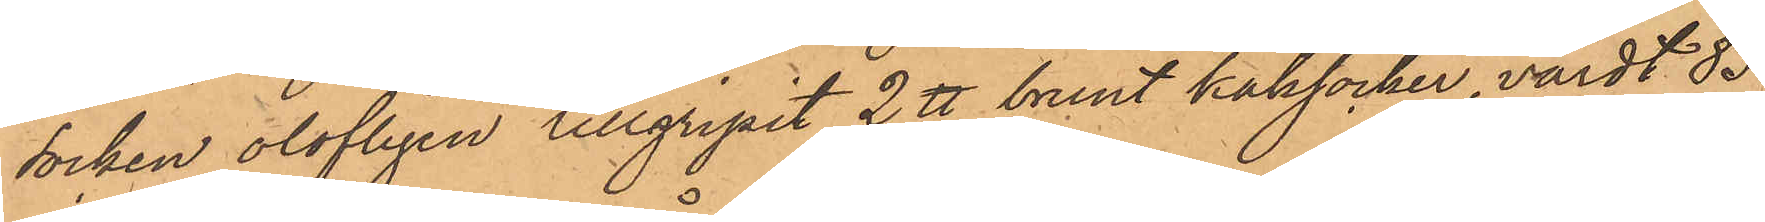socken olofligen tillgripit 2 ℔ brunt kaksocker, värdt 83
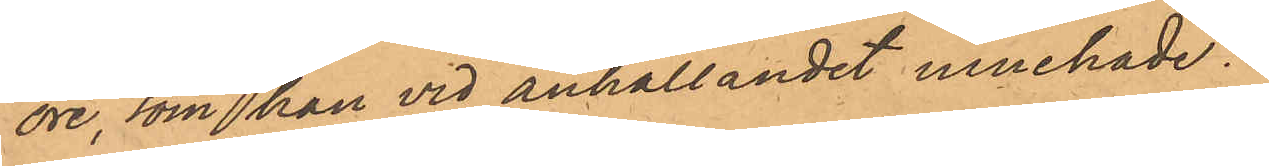öre, som han vid anhållandet innehade.
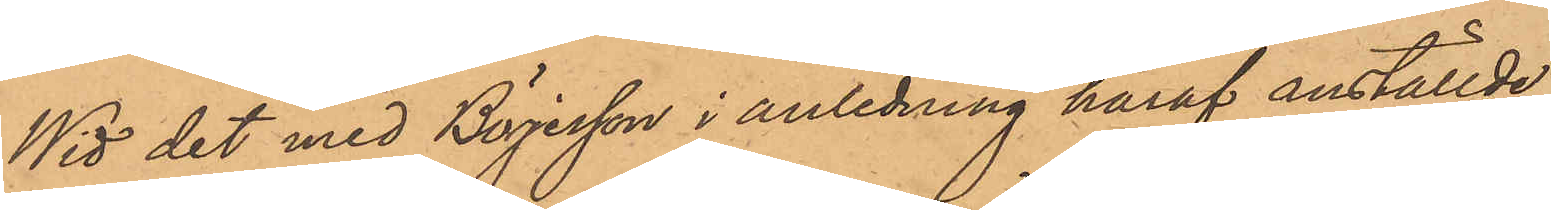Wid det med Börjesson i anledning häraf anställde
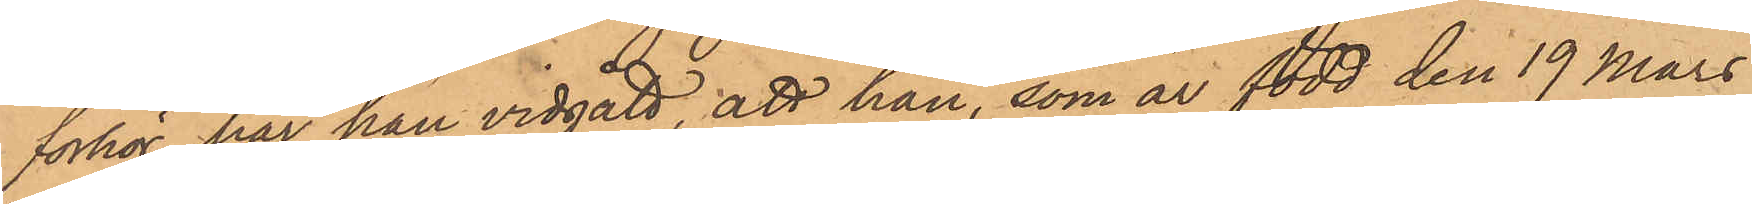förhör har han vidgått, att han, som är född den 19 Mars
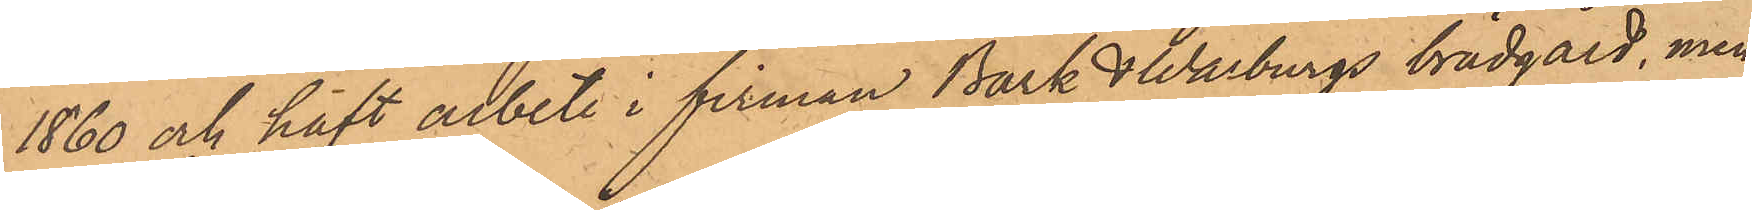1860 och haft arbete i firman Bark & Warburgs brädgård, men
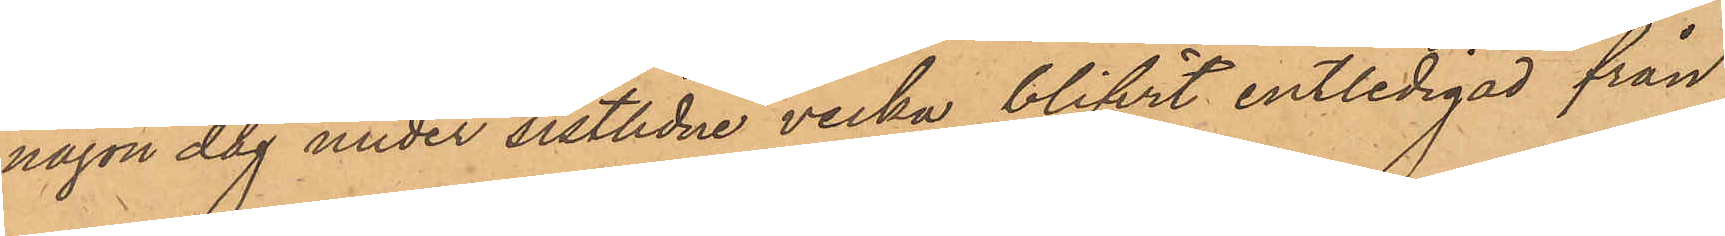någon dag under sistlidne vecka blifvit entledigad från
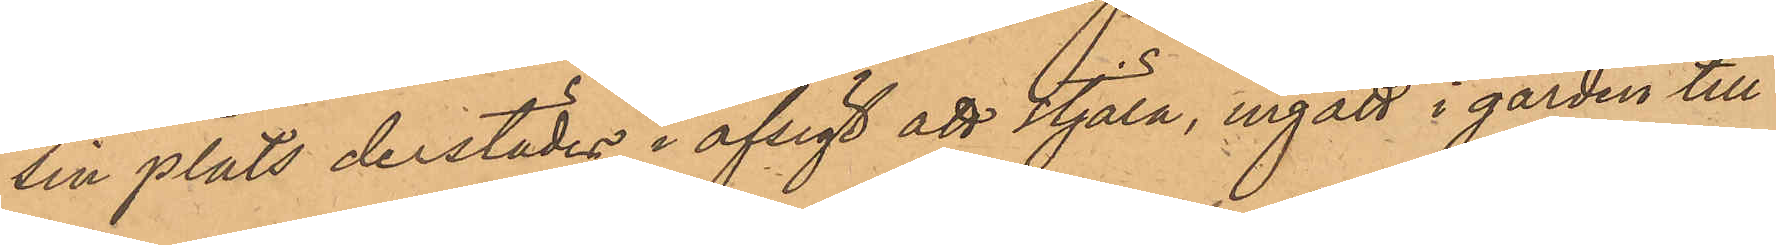sin plats derstädes i afsigt att stjäla, ingått i gården till
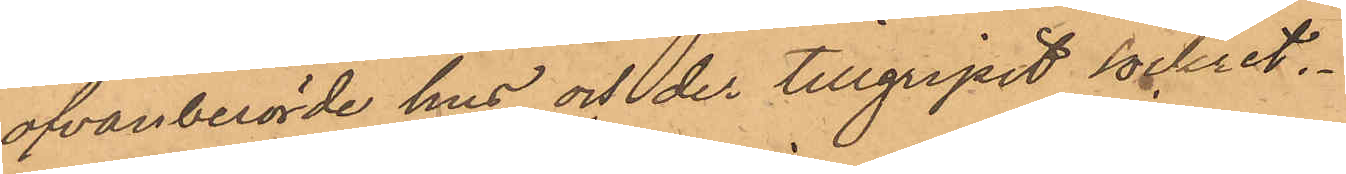ofvanberörde hus och der tillgripit sockret.
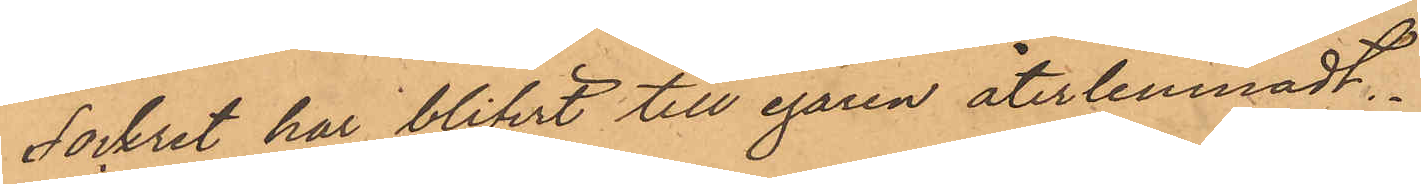Sockret har blifvit till egaren återlemnadt.
